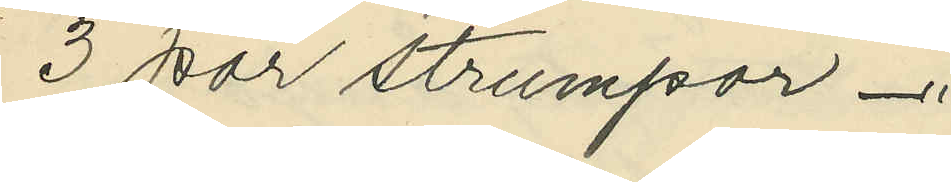3 par strumpor -"
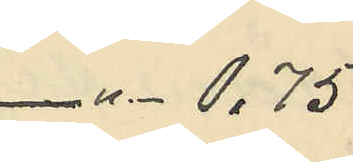-"- 0,75
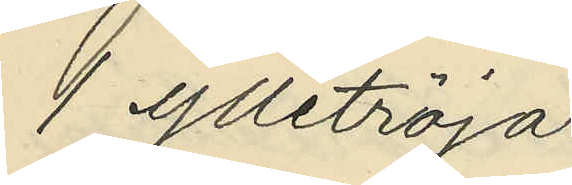1 ylletröja
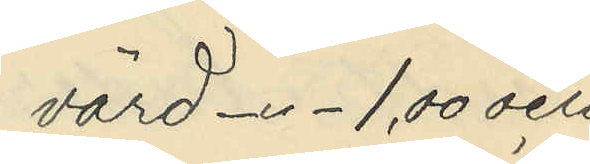värd -"- 1,00 och
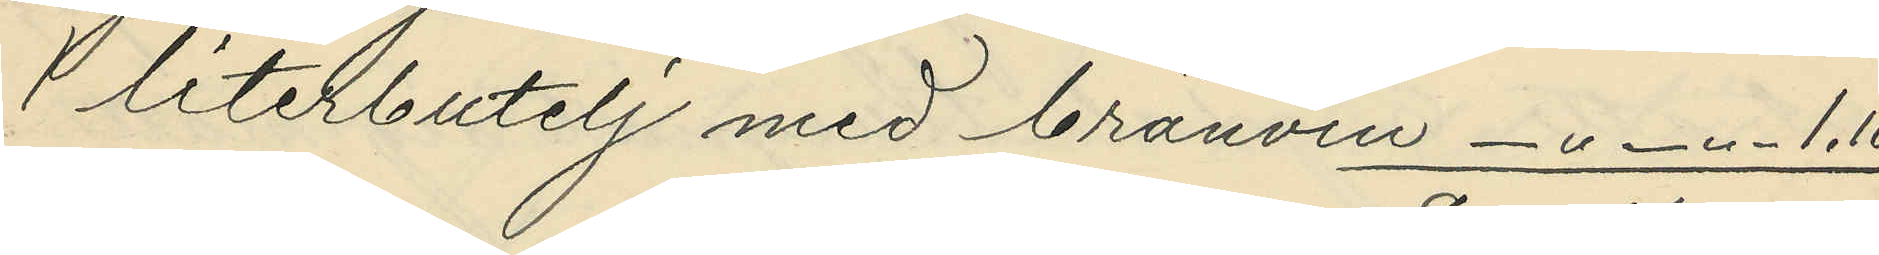1 literbutelj med bränvin -"-"- 1,10
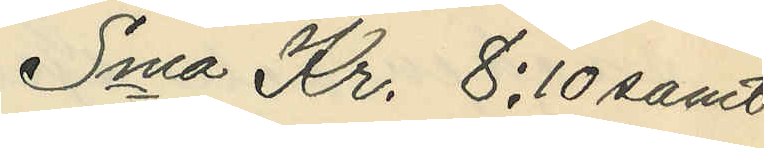Sma Kr. 8:10 samt
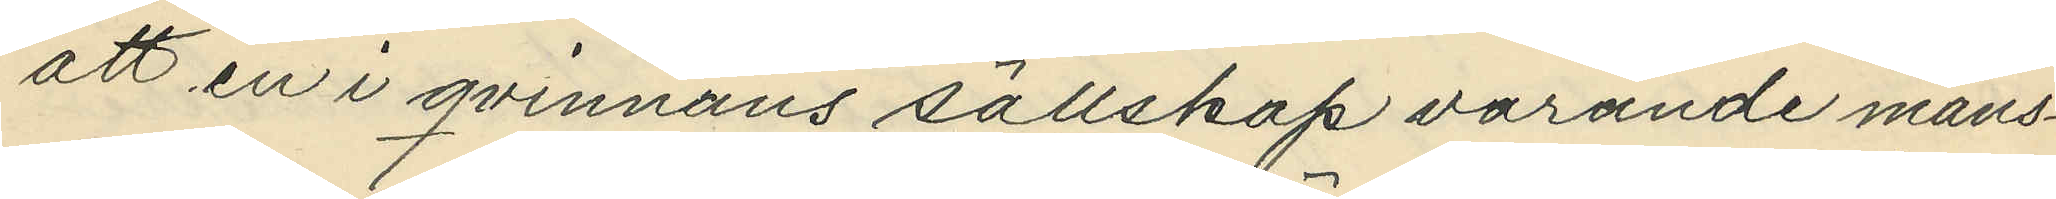att en i qvinnans sällskap varande mans¬
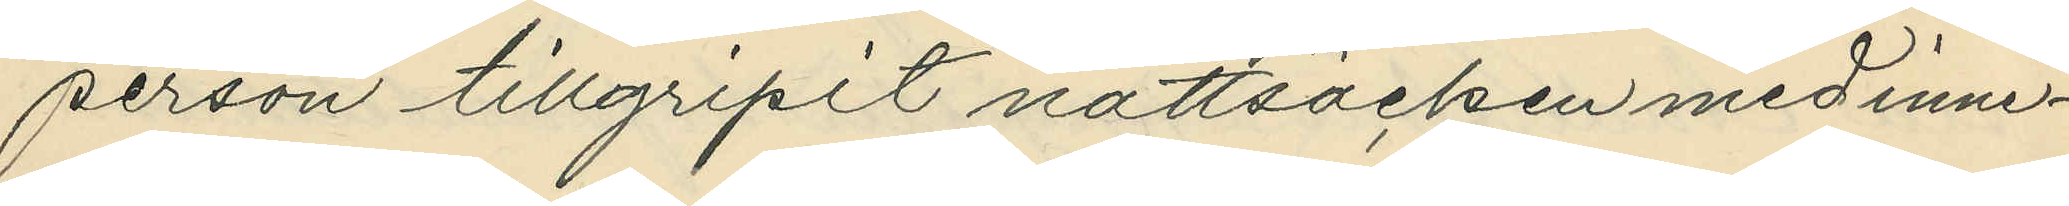person tillgripit nattsäcken med inne¬
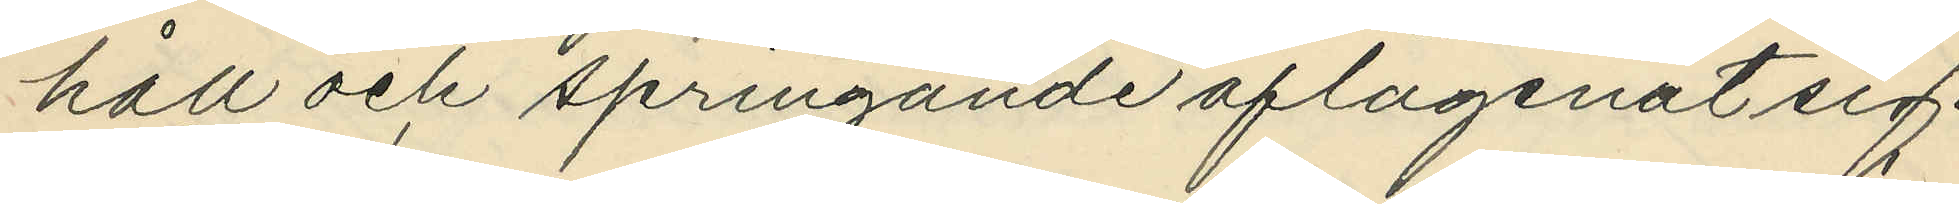håll och springande aflägsnat sig.
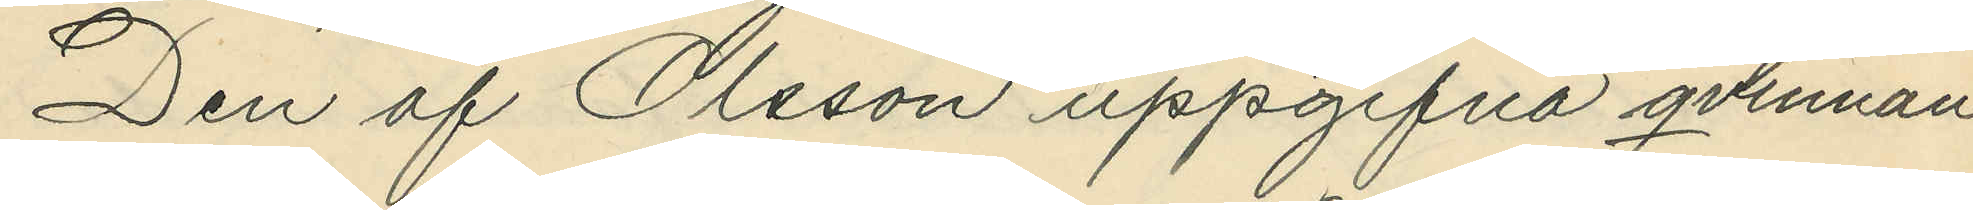Den af Olsson uppgifna qvinnan
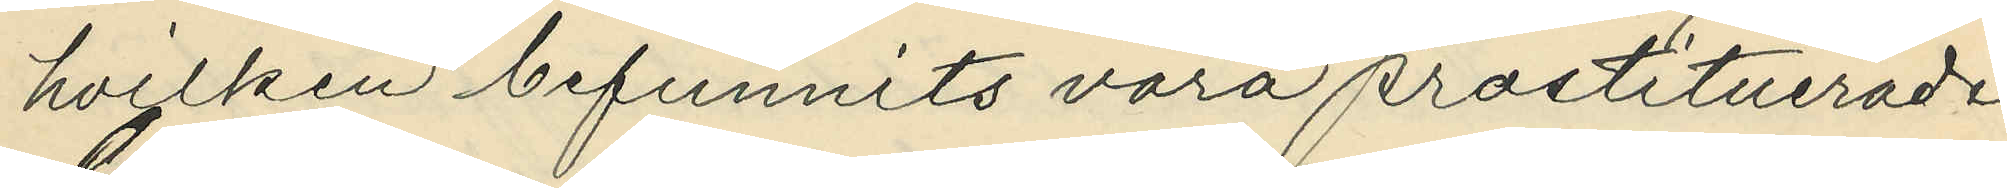hvilken befunnits vara prostituerade
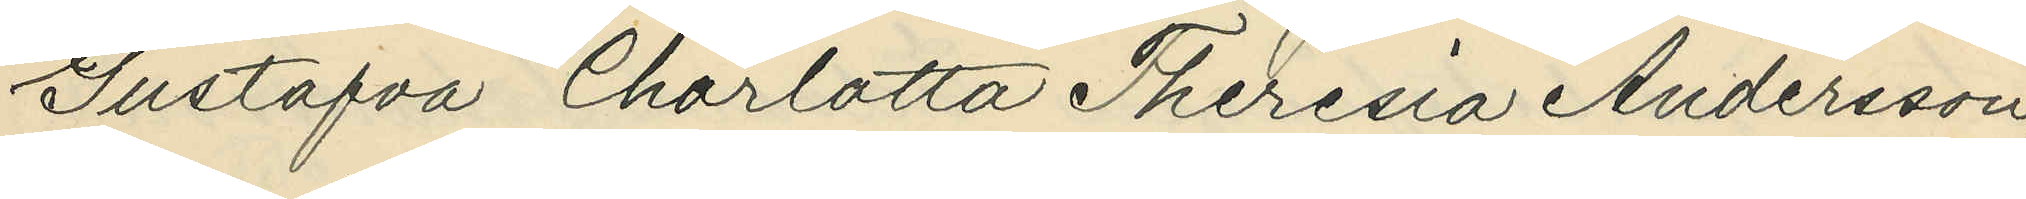Gustafva Charlotta Theresia Andersson,
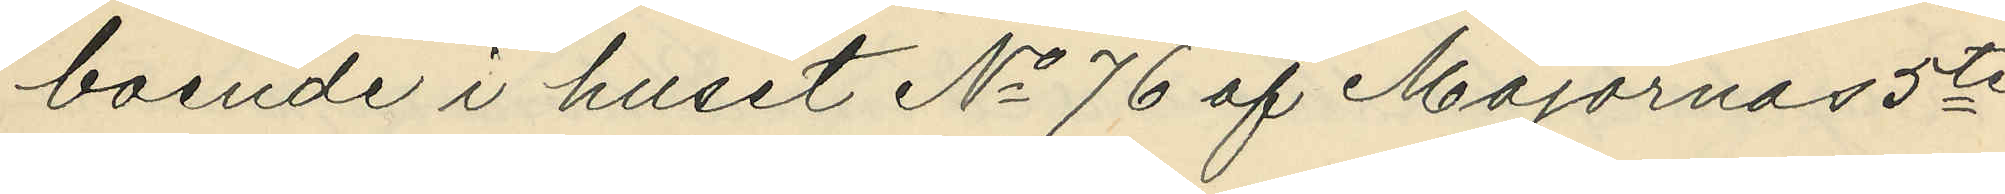boende i huset No 76 af Majornas 5te
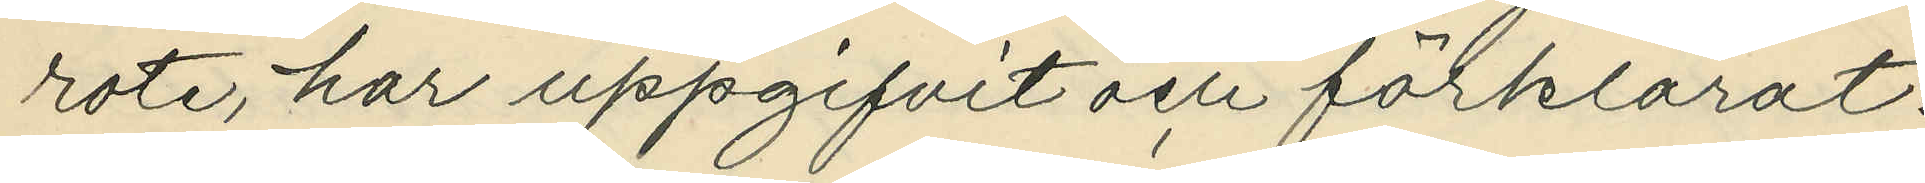rote, har uppgifvit och förklarat:
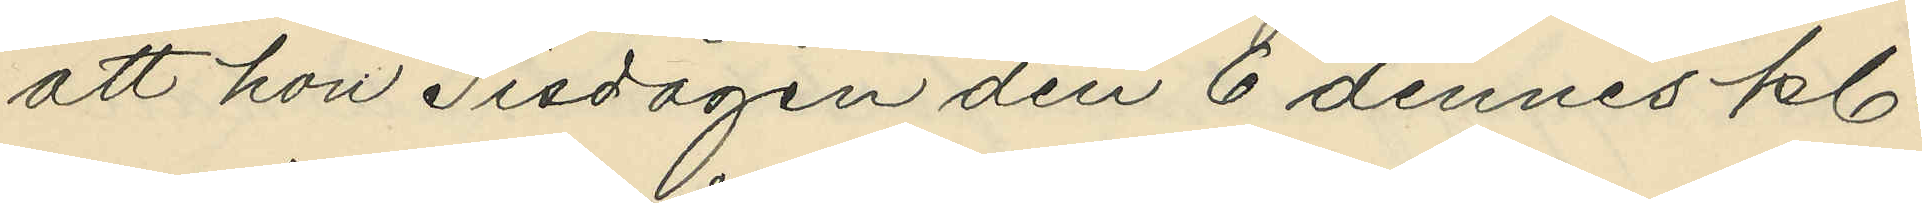att hon Tisdagen den 6 dennes kl.
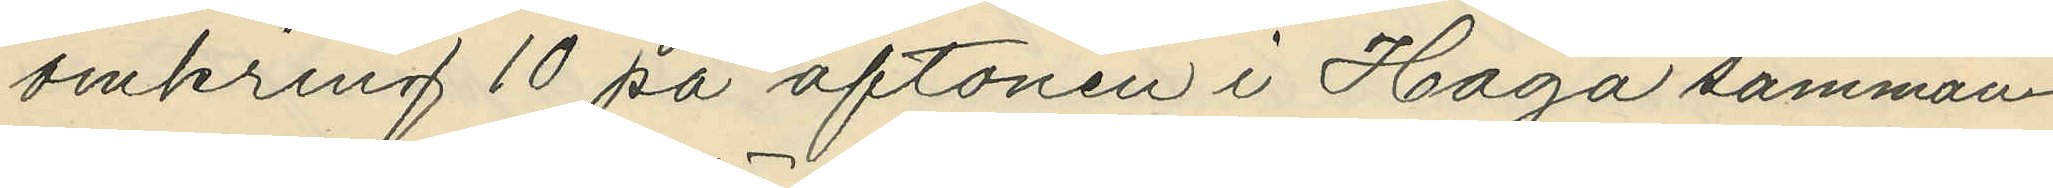omkring 10 på aftonen i Haga samman¬
